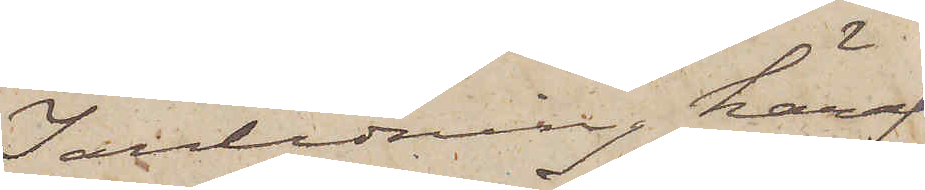I anledning häraf
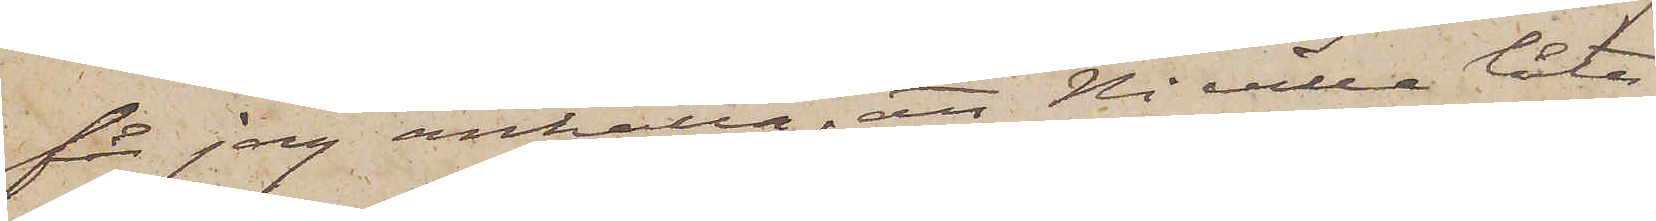får jag anhålla, att Ni villa låta
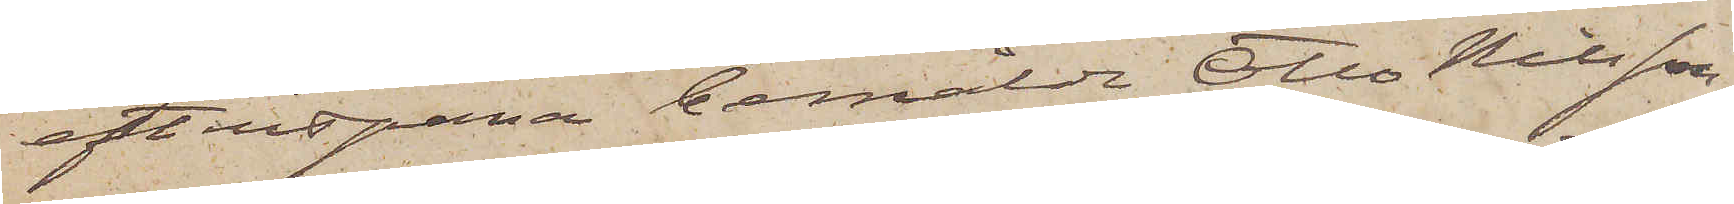efterspana bemälde Otto Nilsson
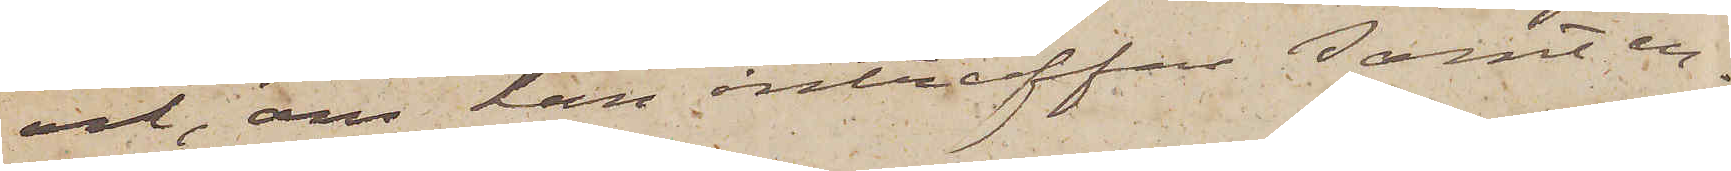och, om han anträffas samt er¬
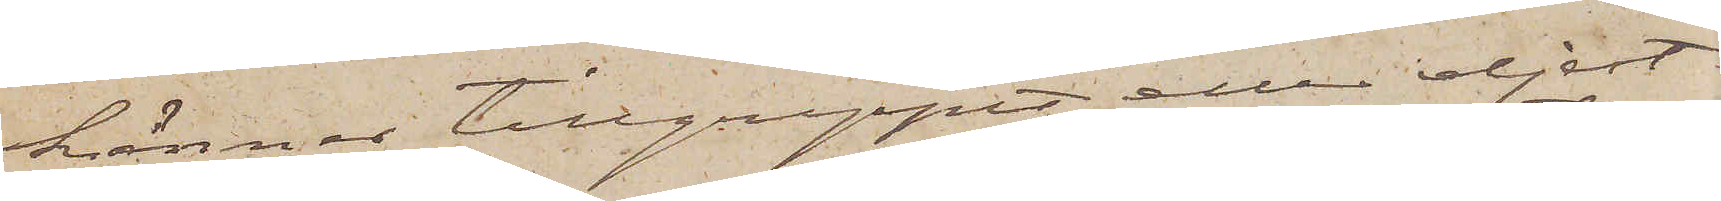känner tillgreppet eller eljest
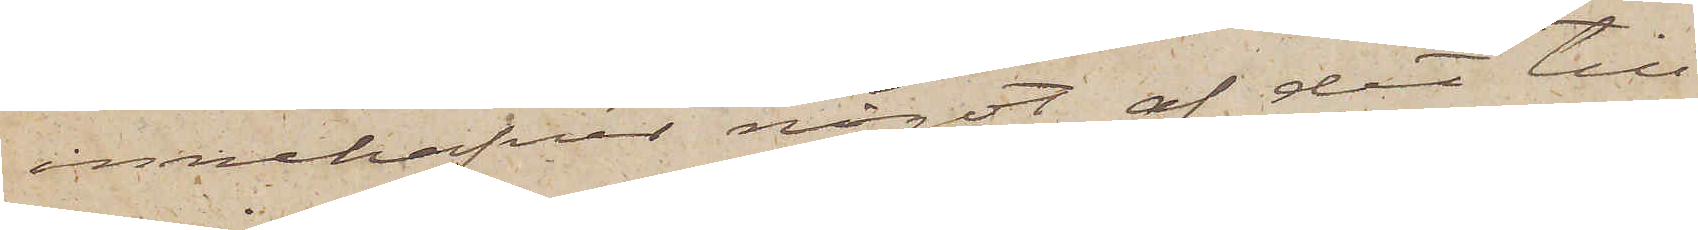innehafver något af det till¬
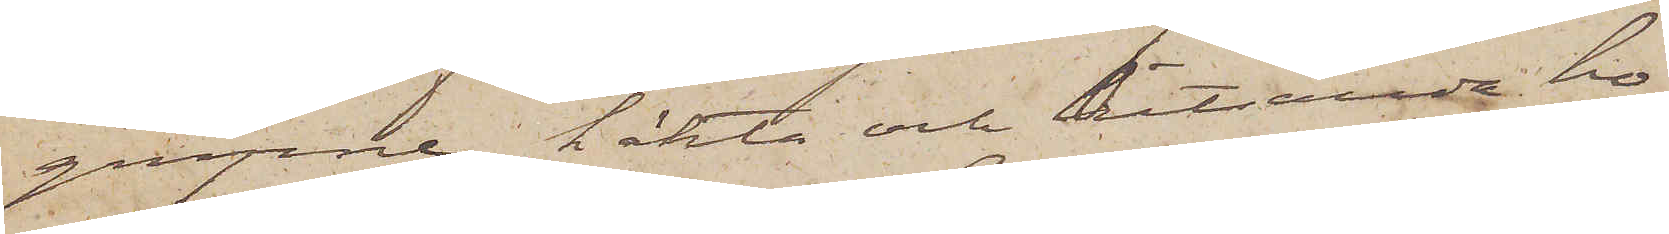gripne, häkta och hitsända ho¬
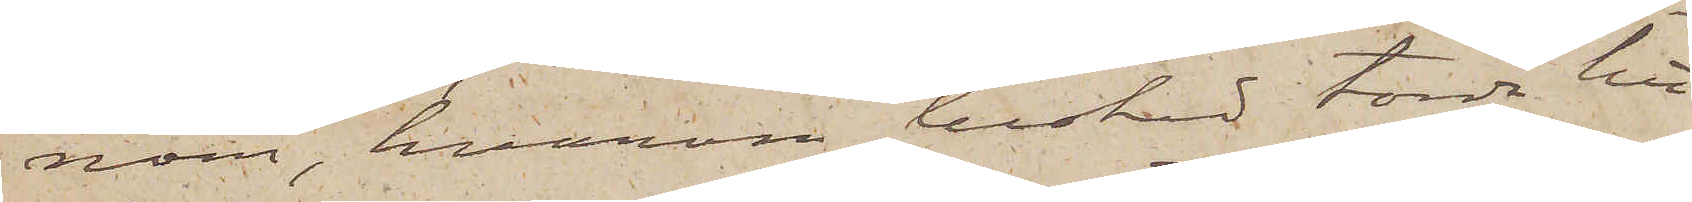nom, hvarom besked torde hit
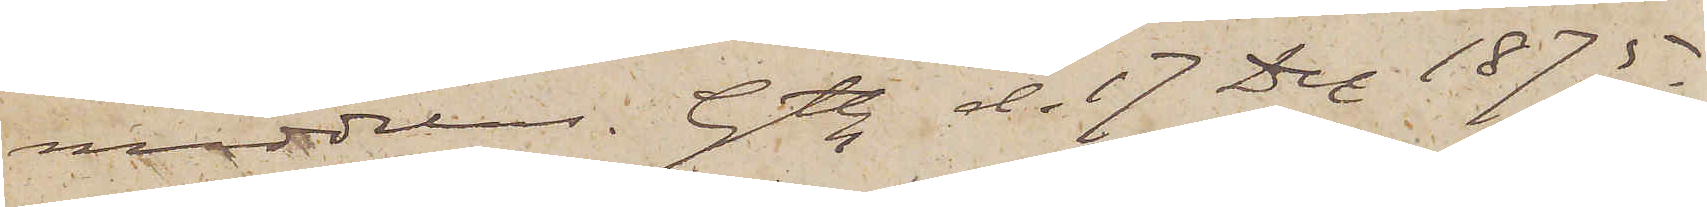meddelas. Gtbg d. 17 Dec 1875.
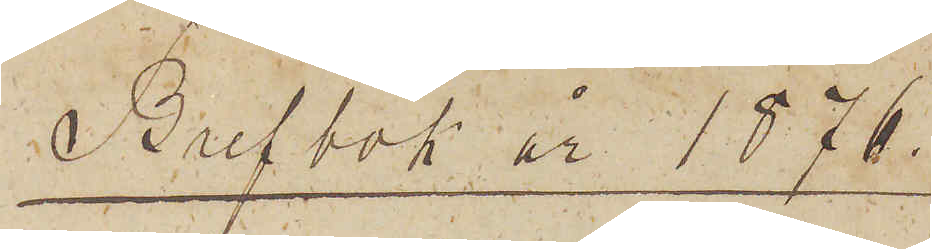Brefbok år 1876.
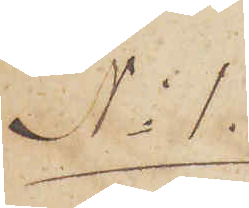No 1.
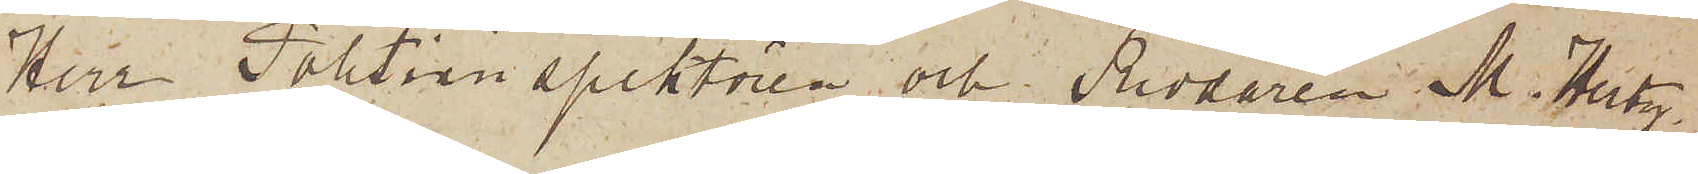Herr Politiinspektören och Riddaren M. Hertz.
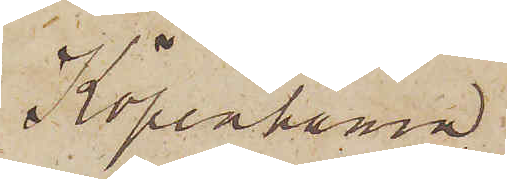Köpenhamn.
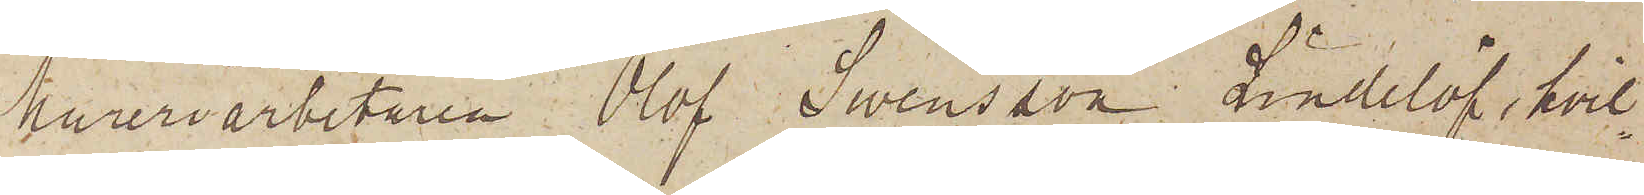Mureriarbetaren Olof Swensson Lindelöf, hvil¬
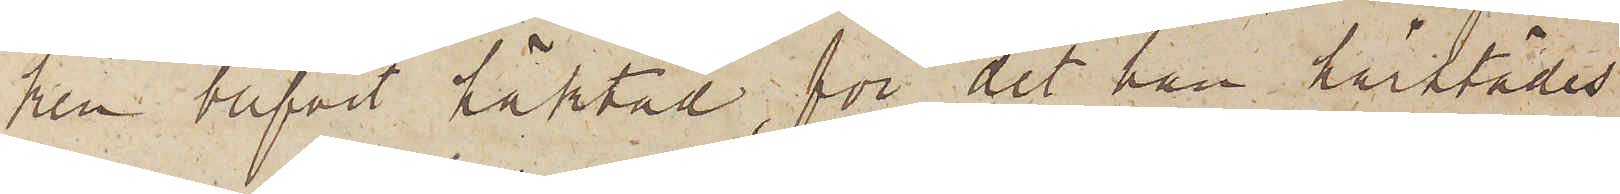ken blifvit häktad för det han härstädes
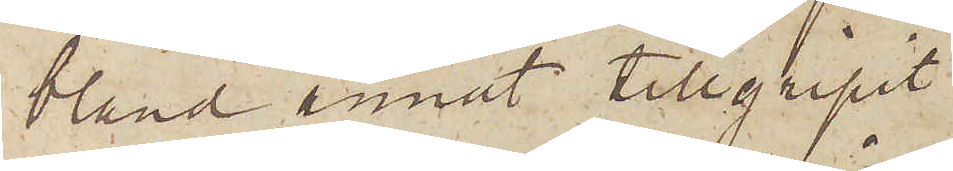bland annat tillgripit
